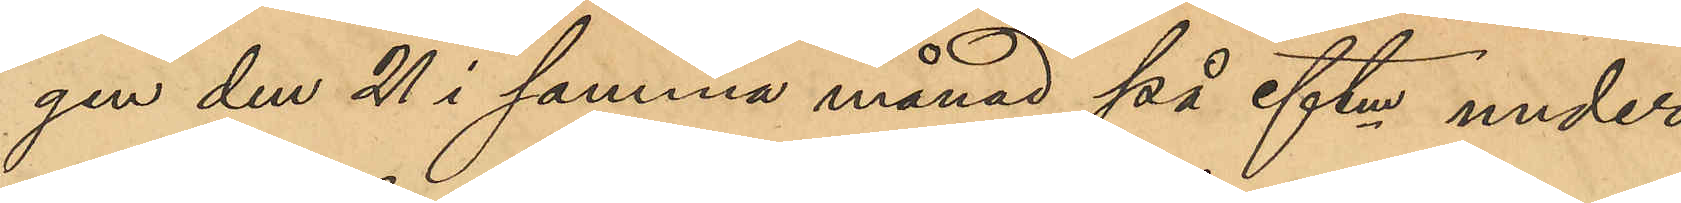gen den 21 i samma månad på eftm under
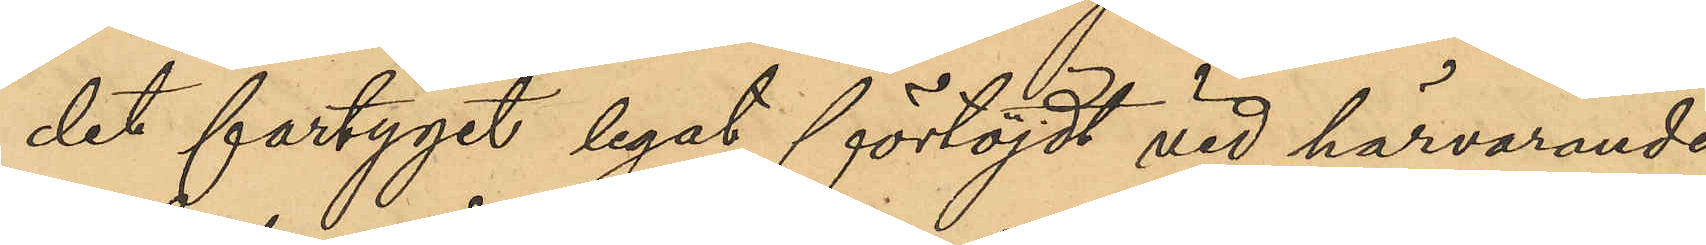det fartyget legat förtöjdt vid härvarande
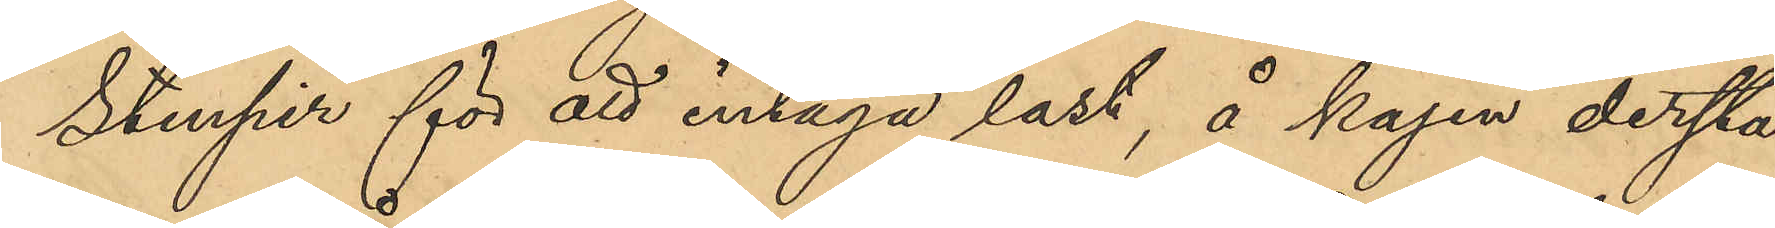Stenpir för att intaga last, å kajen derstä¬
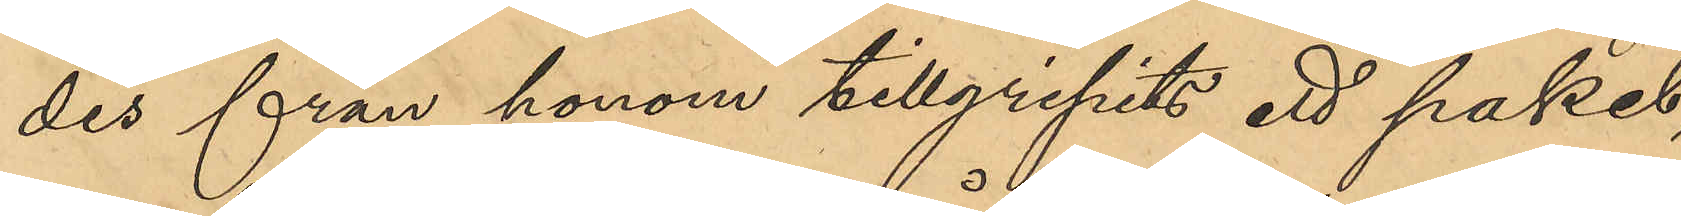des från honom tillgripits ett paket,
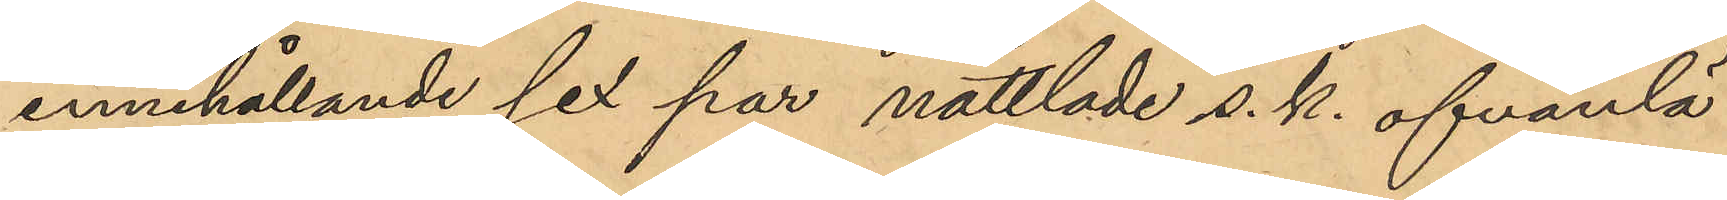innehållande sex par nåttlade s.k. ofvanlä¬
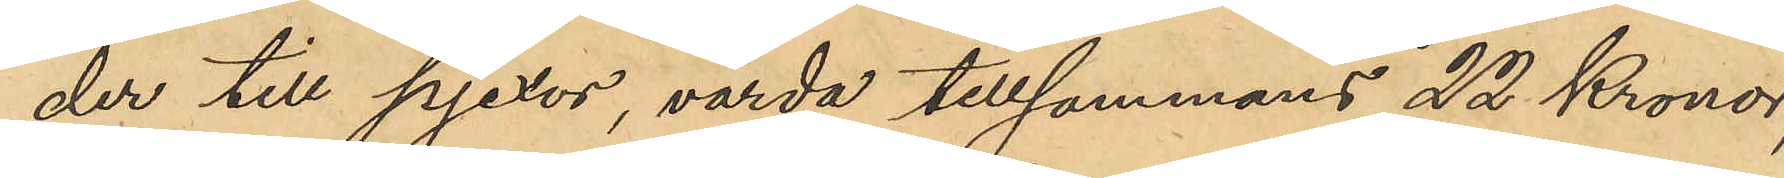der till pjexor, värda tillsammans 22 Kronor,
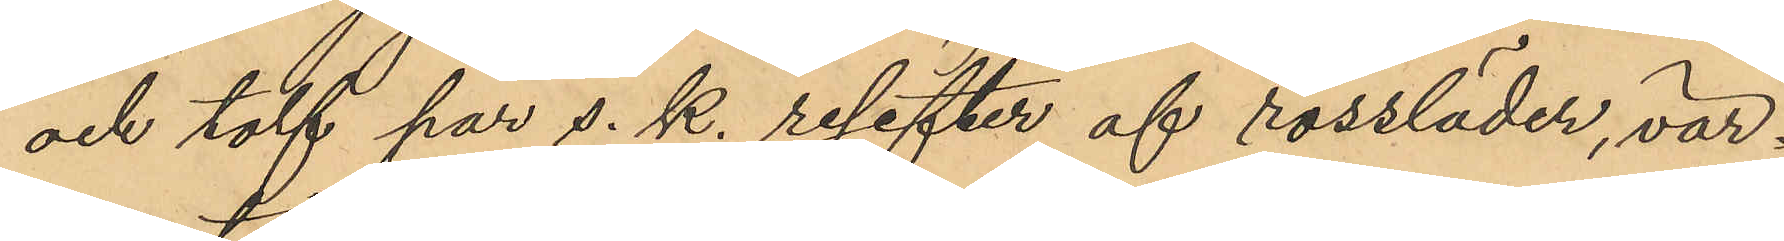och tolf par s.k. resefter af rossläder, vär¬
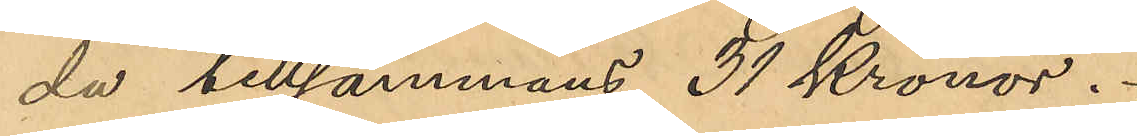da tillsammans 31 kronor.
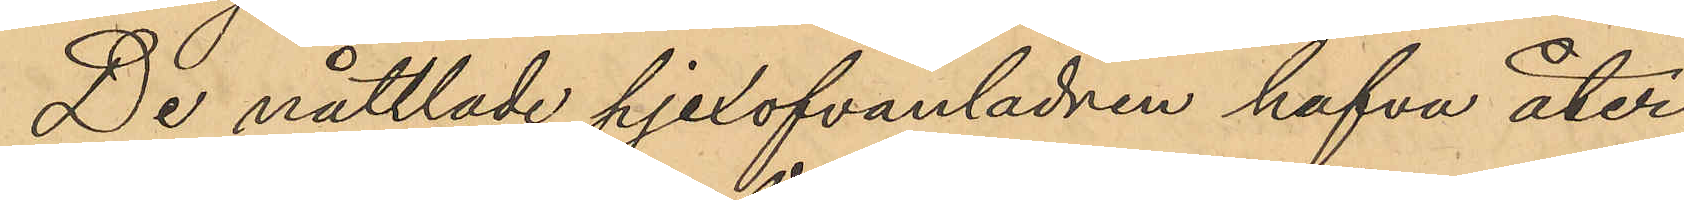De nåttlade pjexofvanlädren hafva åter¬
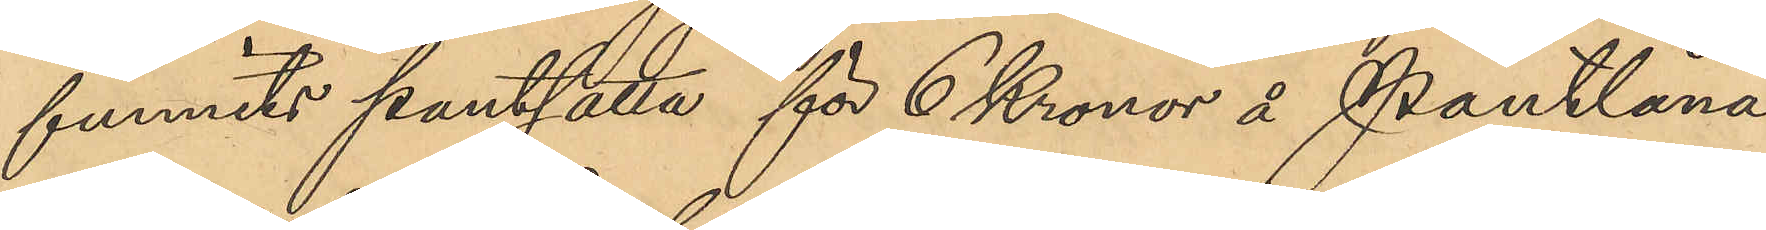funnits pantsatta för 6 Kronor å Pantlåna¬
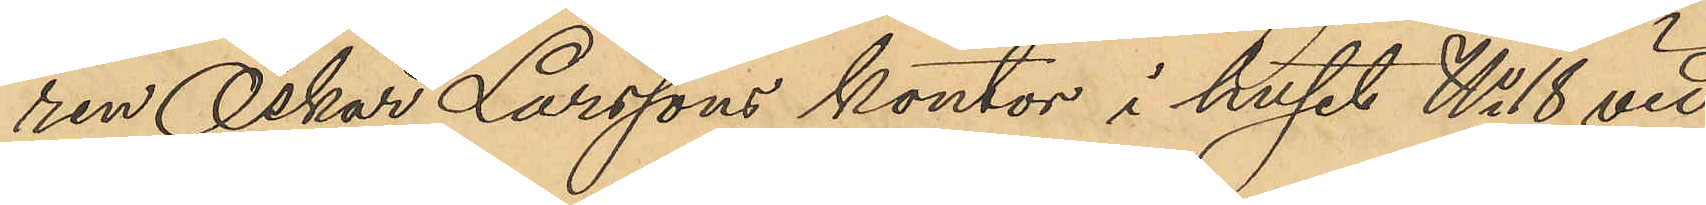ren Oskar Larssons kontor i huset No 18 vid
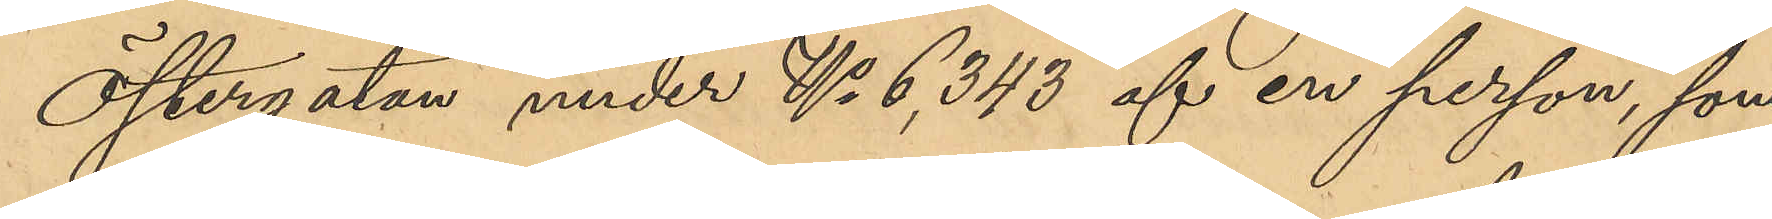Östergatan under No 6,343 af en person, som
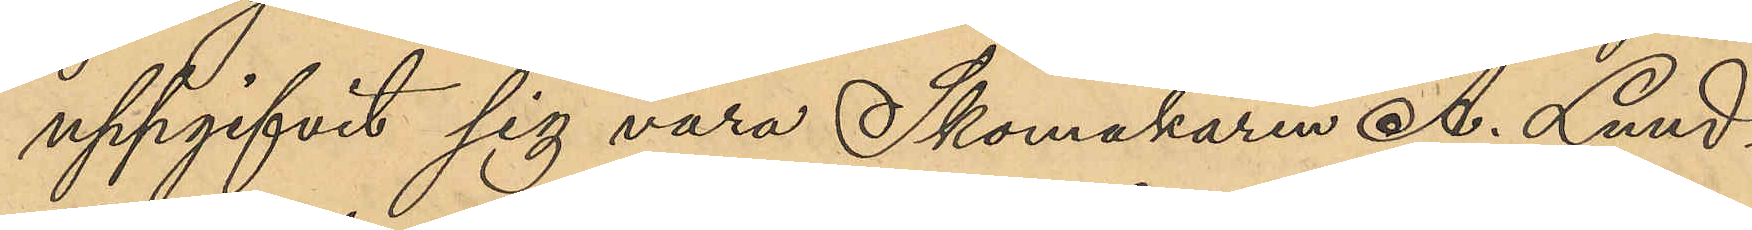uppgifvit sig vara Skomakaren A. Lund¬
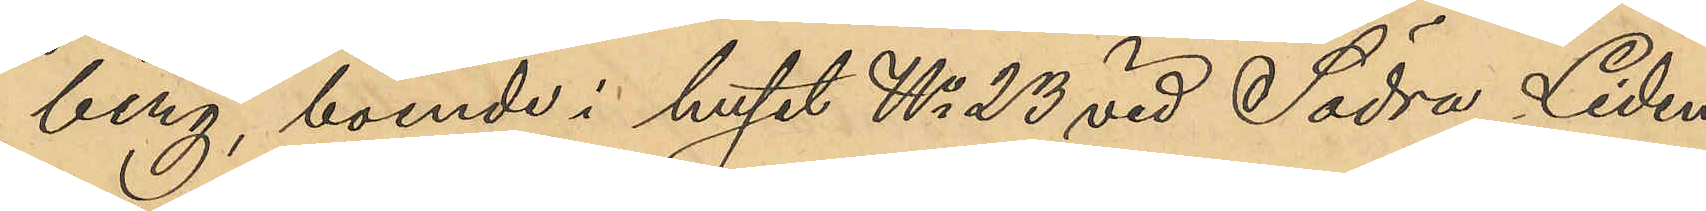berg, boende i huset No 23 vid Södra Liden.
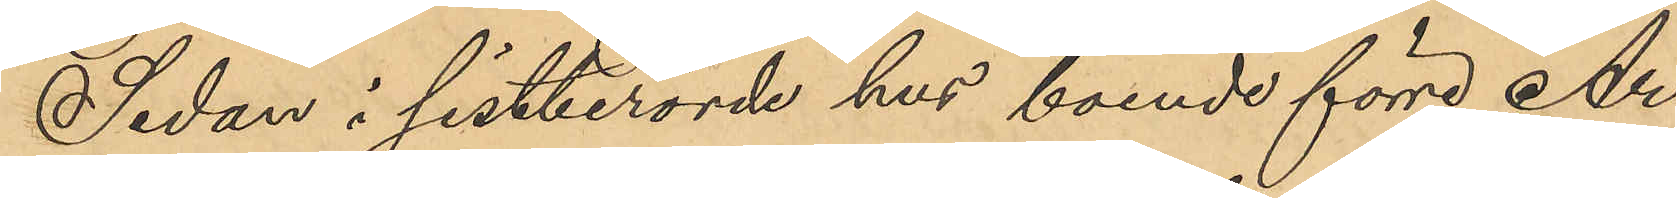Sedan i sistberörde hus boende förre Ar¬
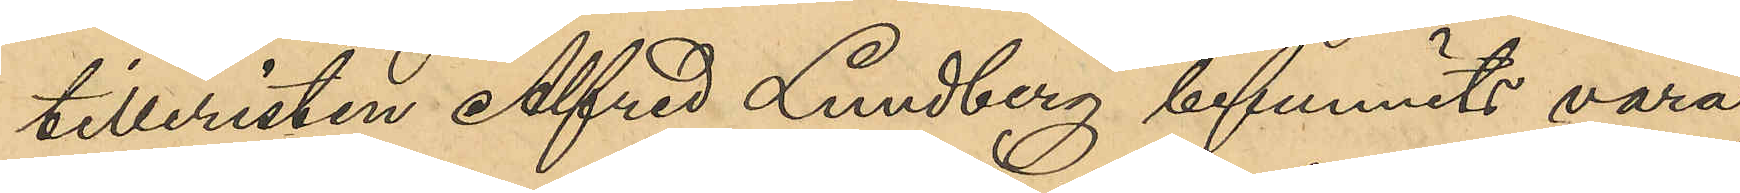tilleristen Alfred Lundberg befunnits vara
